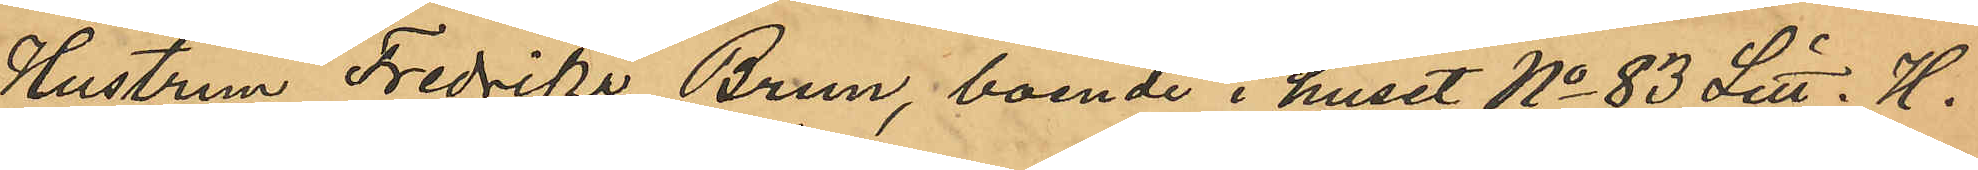Hustrun Fredrika Brun, boende i huset No 83 Litt. H.
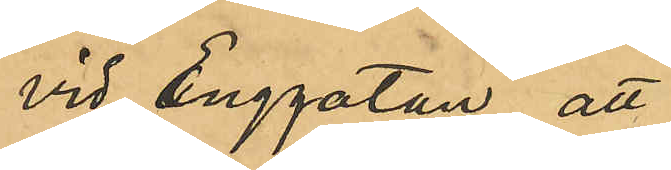vid Enggatan, att
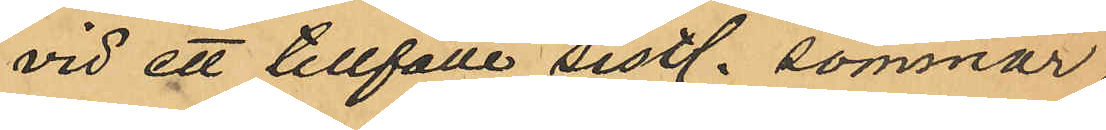vid ett tillfälle sistl. sommar
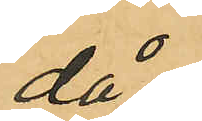då
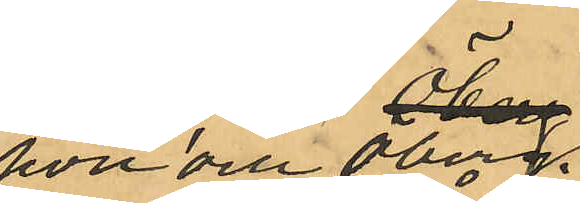hon och Öberg
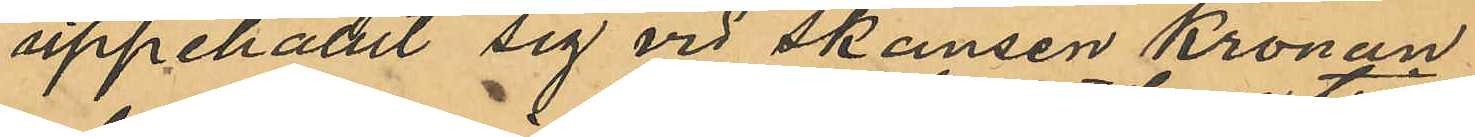uppehållit sig vid Skansen Kronan,
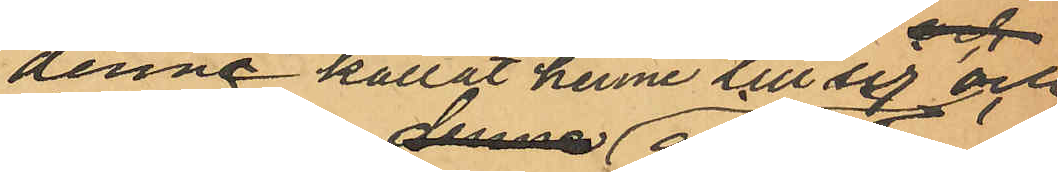denne kallat henne till sig och
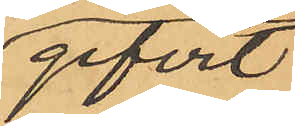gifvit
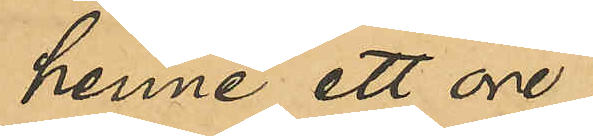henne ett öre,
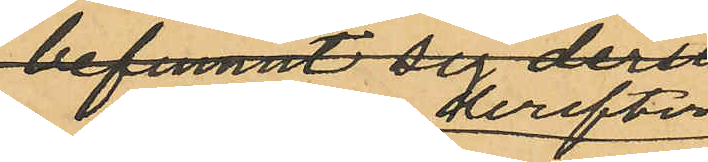att han derefter
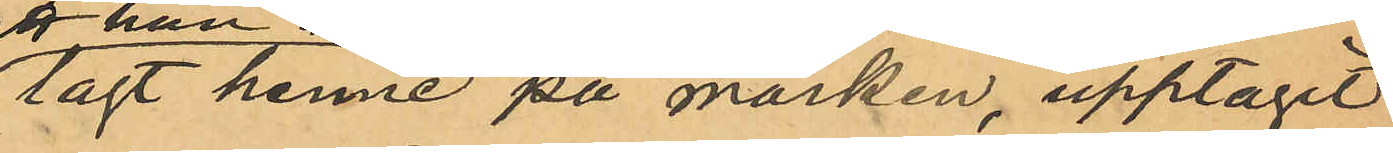lagt henne på marken, upptagit
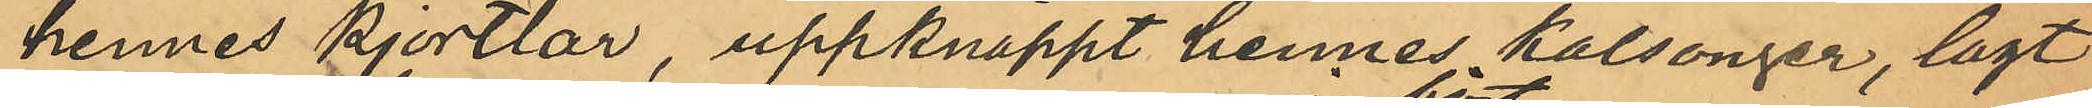hennes kjortlar, uppknäppt hennes kalsonger, lagt
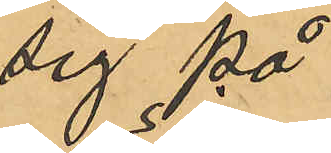sig på
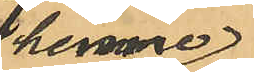henne
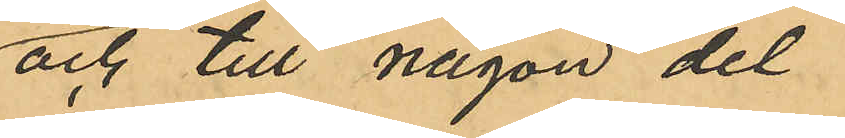och till någon del
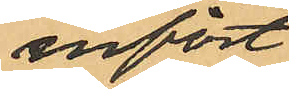infört
